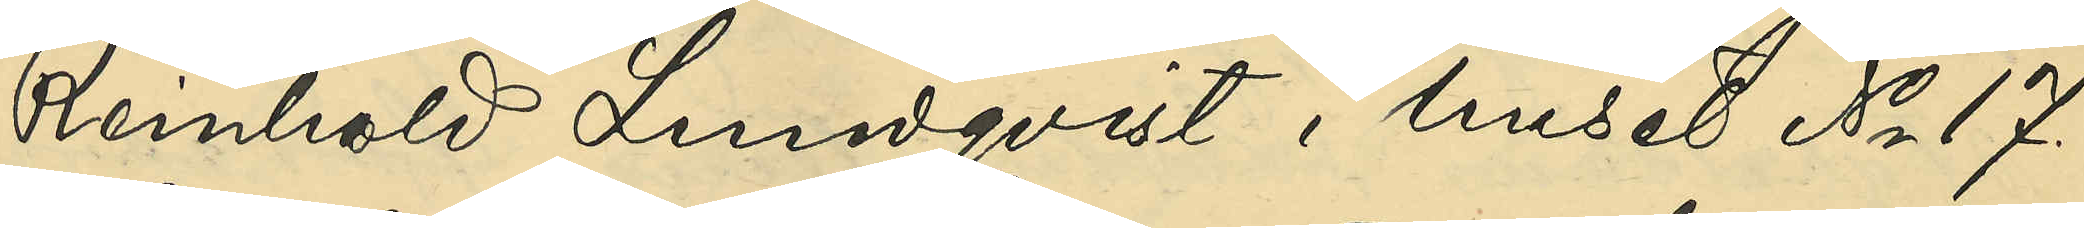Reinhold Lundqvist i huset No 17.
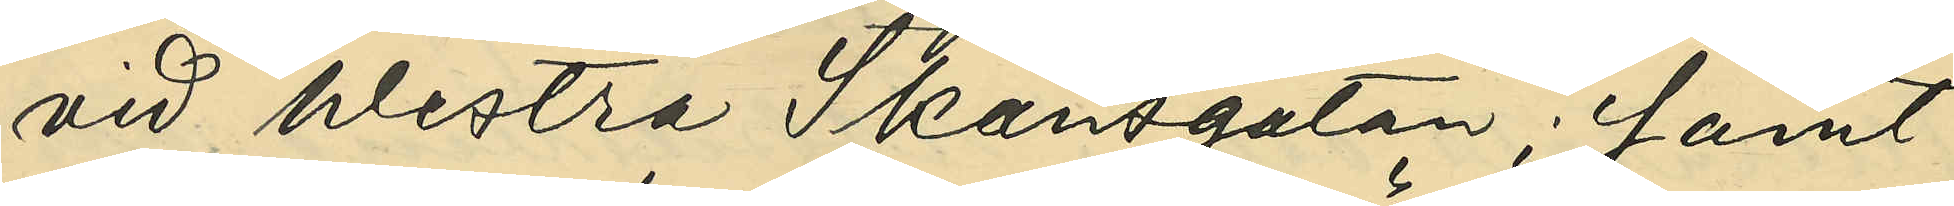vid Westra Skansgatan; samt
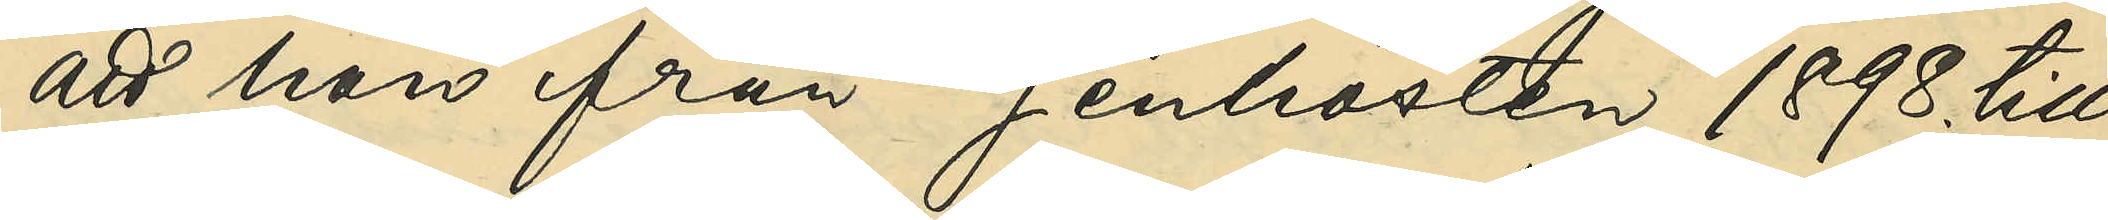att han från senhösten 1898. till
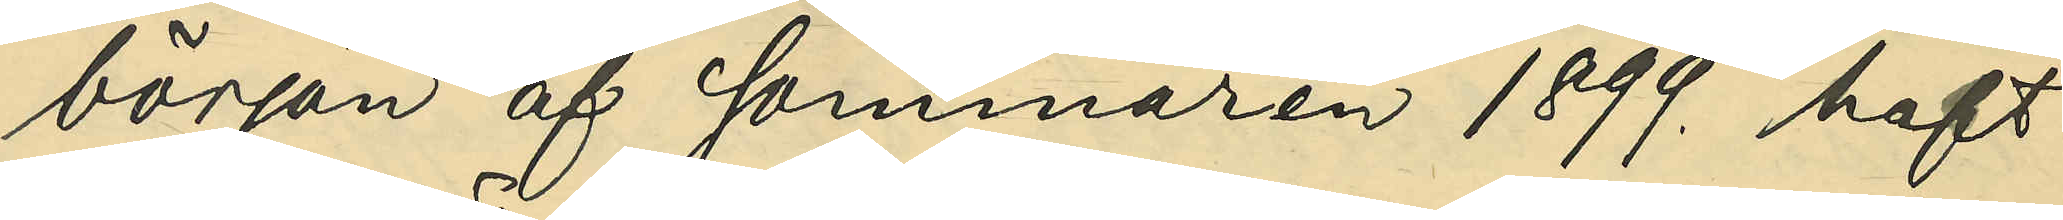början af sommaren 1899. haft
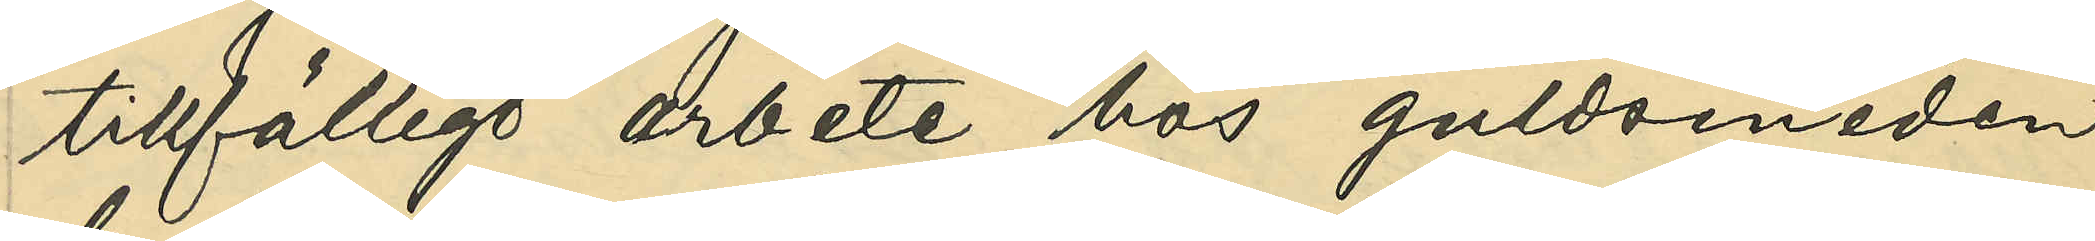tillfälligt arbete hos guldsmeden
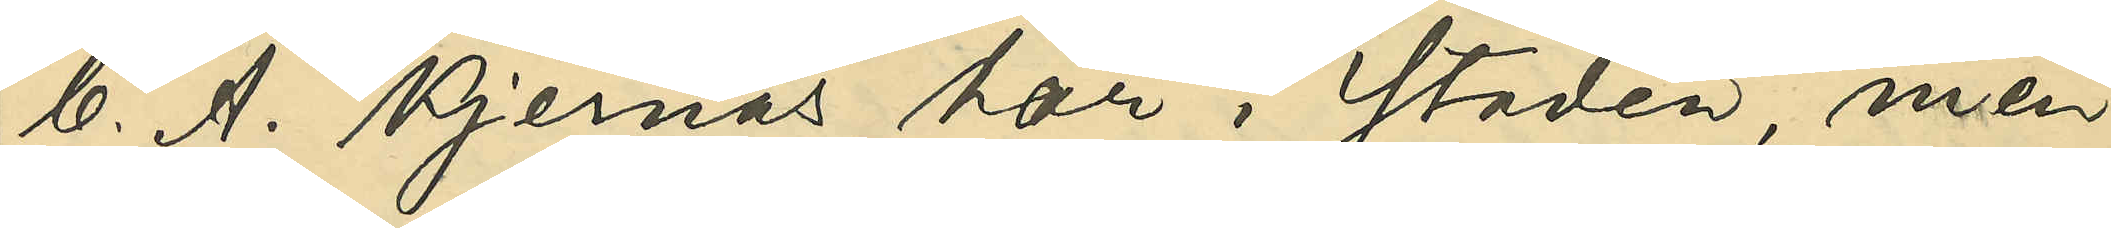C. A. Kjernås här i staden, men
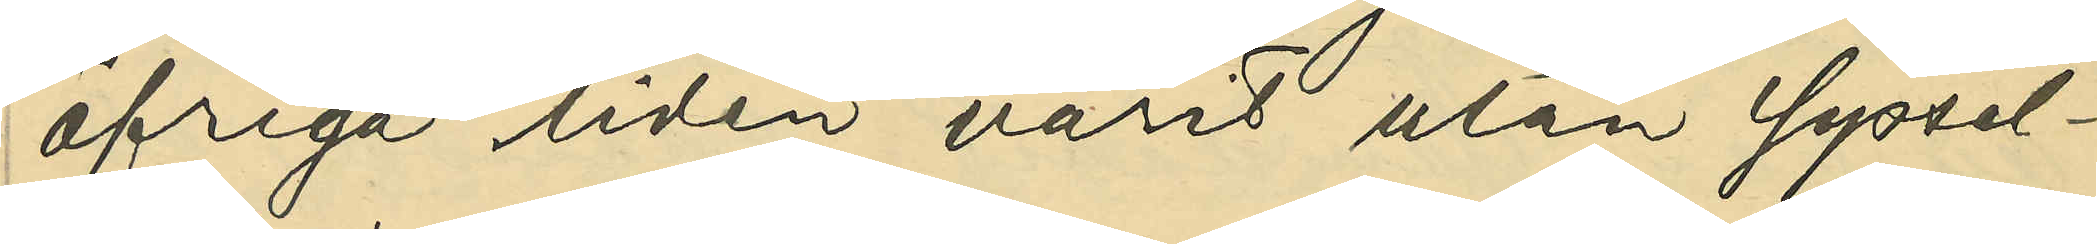öfriga tiden varit utan syssel¬
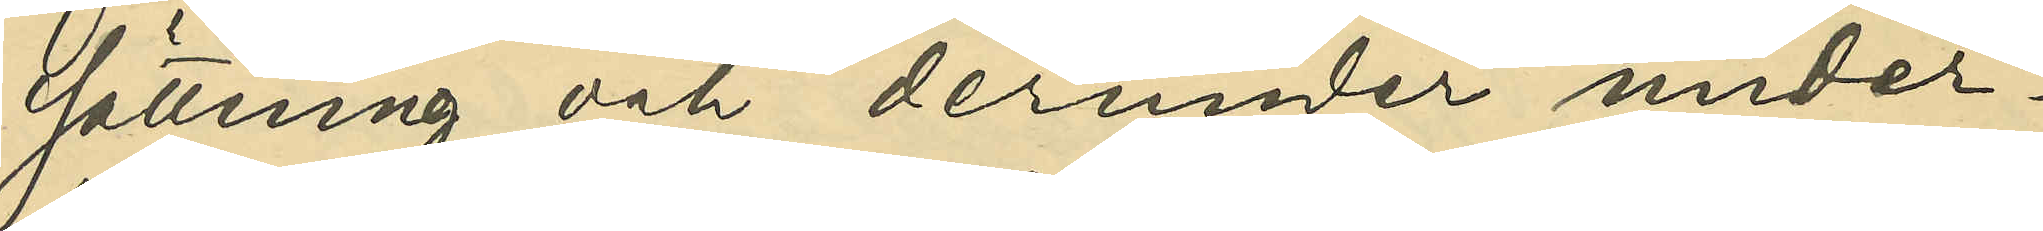sättning och derunder under¬
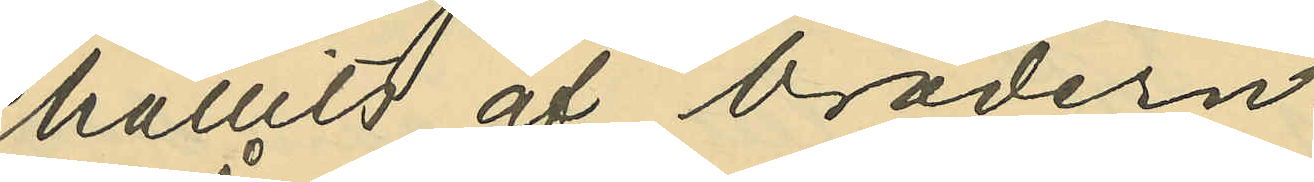hållits af brodern.
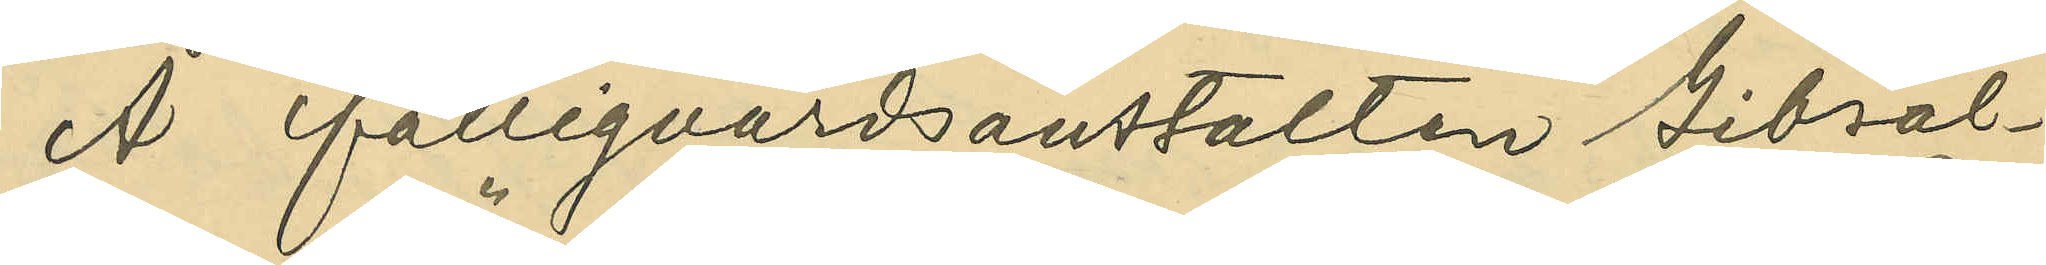Å fattigvårdsanstalten Gibral¬
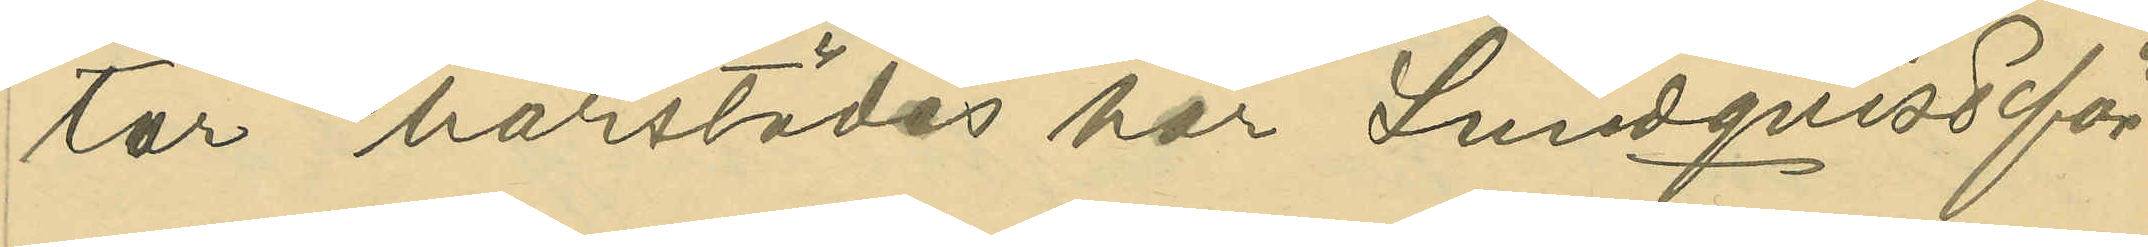tar härstädes har Lundqvist för
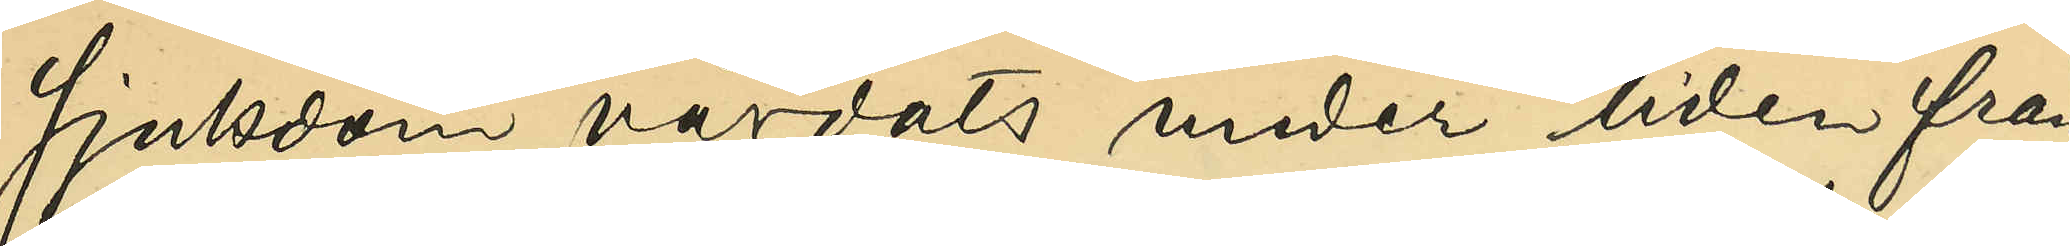sjukdom vårdats under tiden från
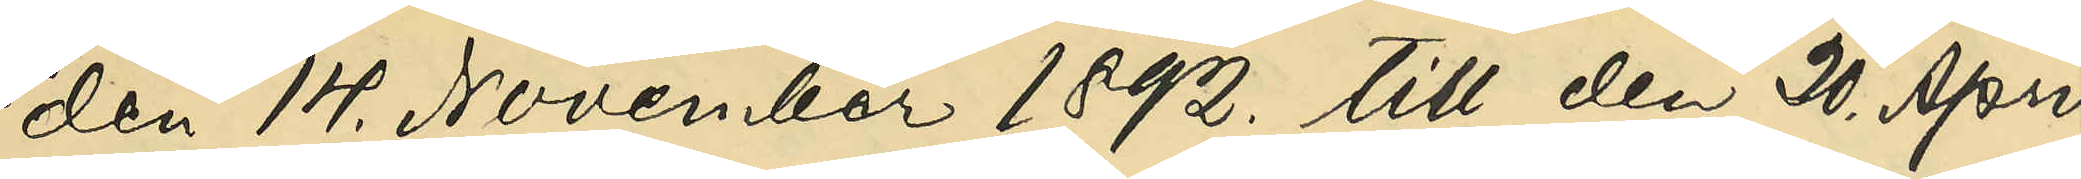den 14. November 1892. till den 20. April
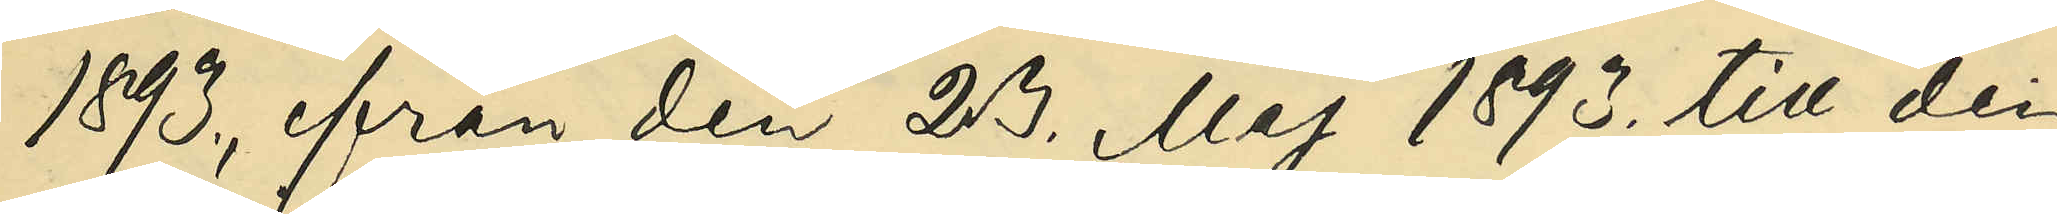1893., från den 23 Maj 1893. till den
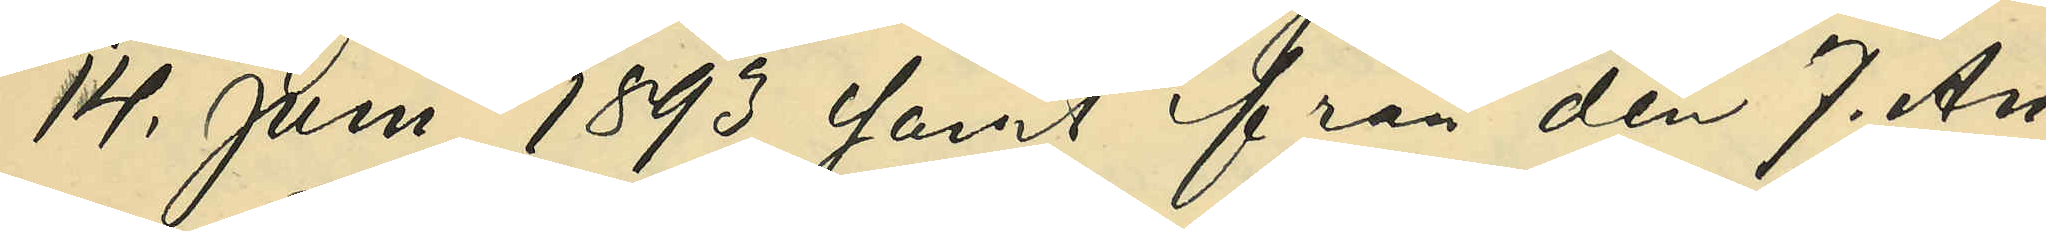14. Juni 1893 samt från den 7. Au¬
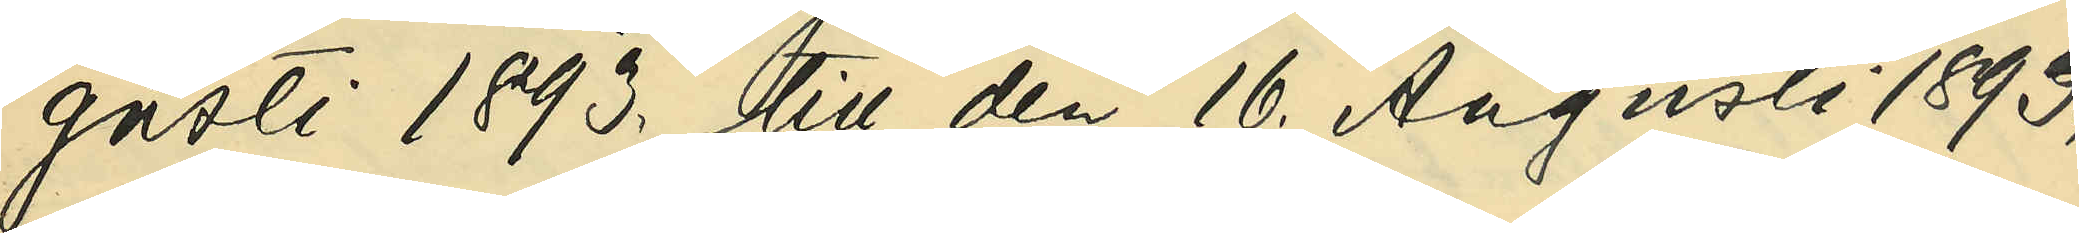gusti 1893. till den 16. Augusti 1893.,
